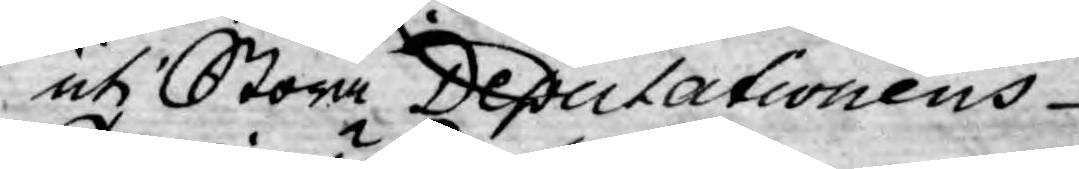uti Stora Deputationens
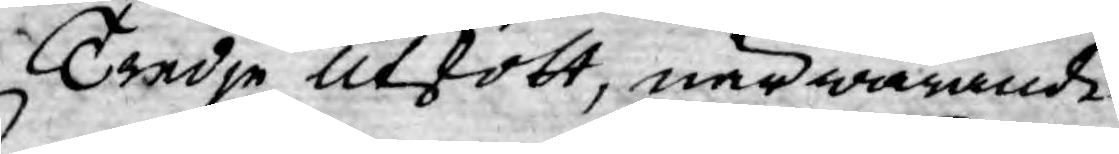Tredje Utskott, närwarande
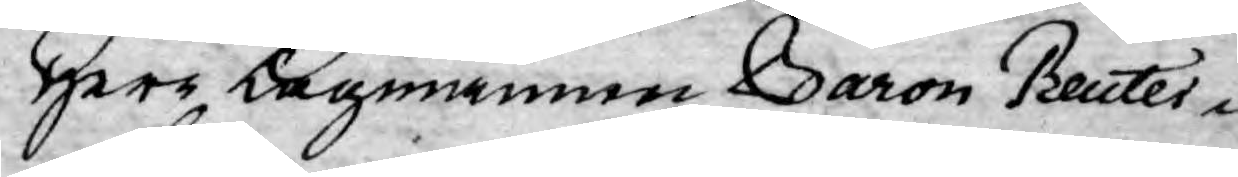Herr Lagmannen Baron Reuter¬
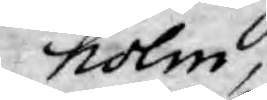holm,
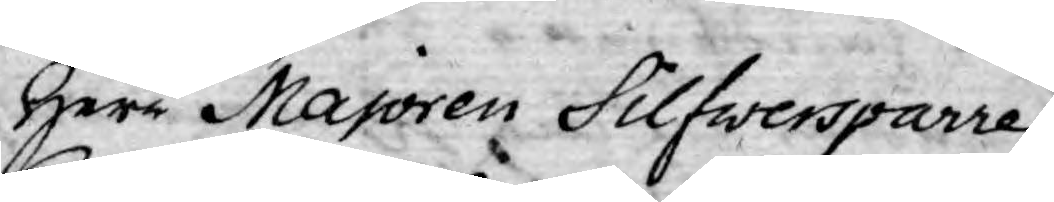Herr Majoren Silfwersparre
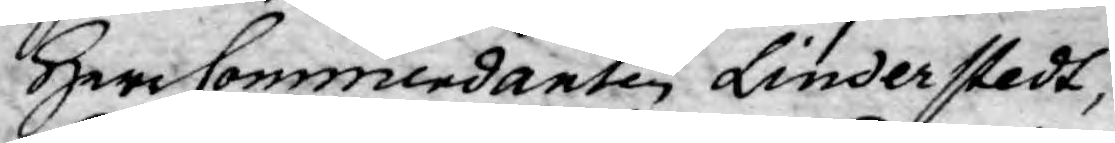Herr Commendanten Linderstedt,
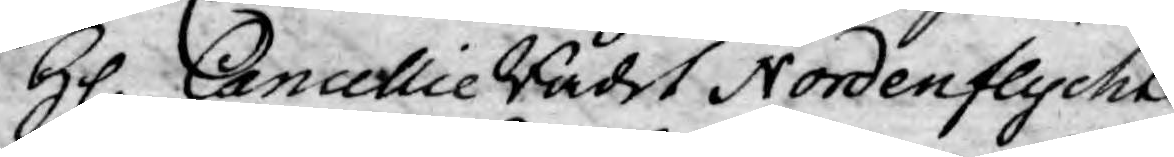H. Cancellie Rådet Nordenflycht
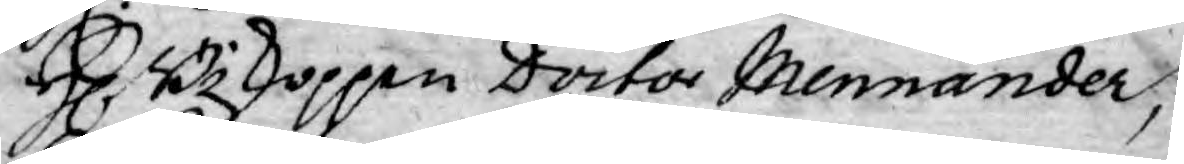H Biskoppen Doctor Mennander,
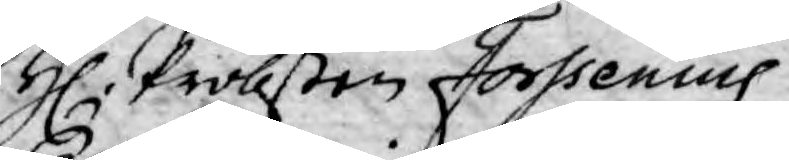H. Probsten Forssenius
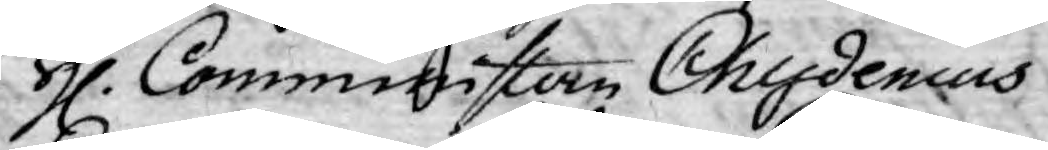H. Comminister Chydenius
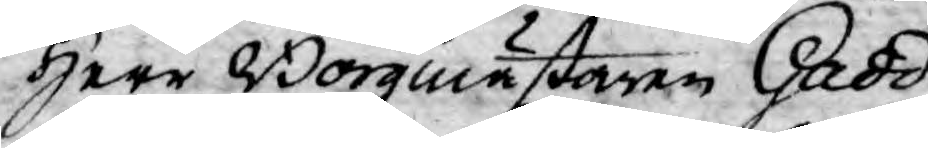Herr Borgmästaren Gadd,
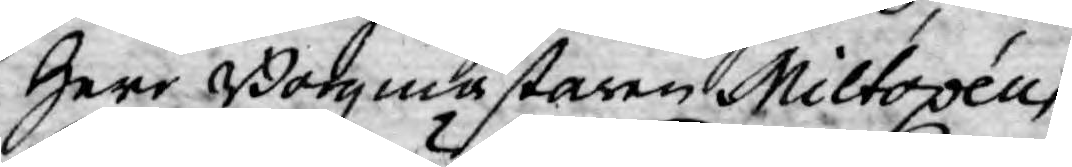Herr Borgmästaren Miltopéus,
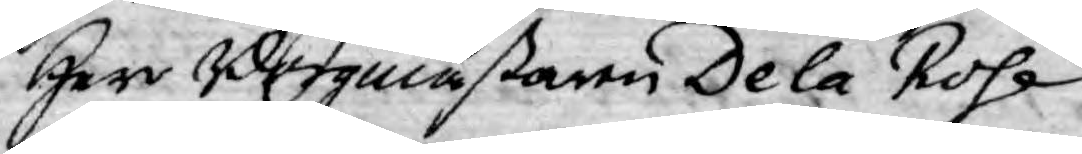Herr Borgmästaren De la Rose
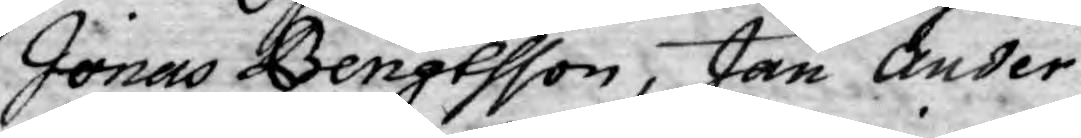Jonas Bengtsson, Jan Ander¬
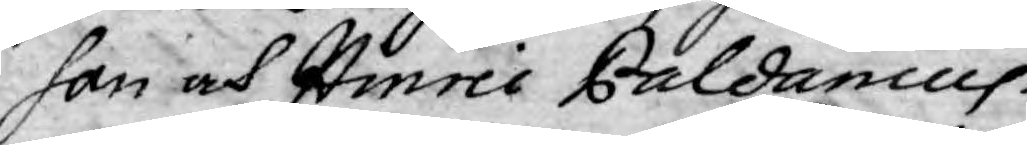son och Hinric Paldanius.
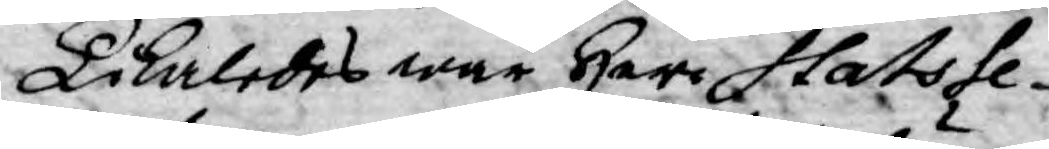Likaledes war Herr Stats Se¬
